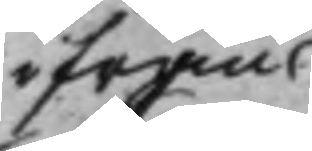ifrån
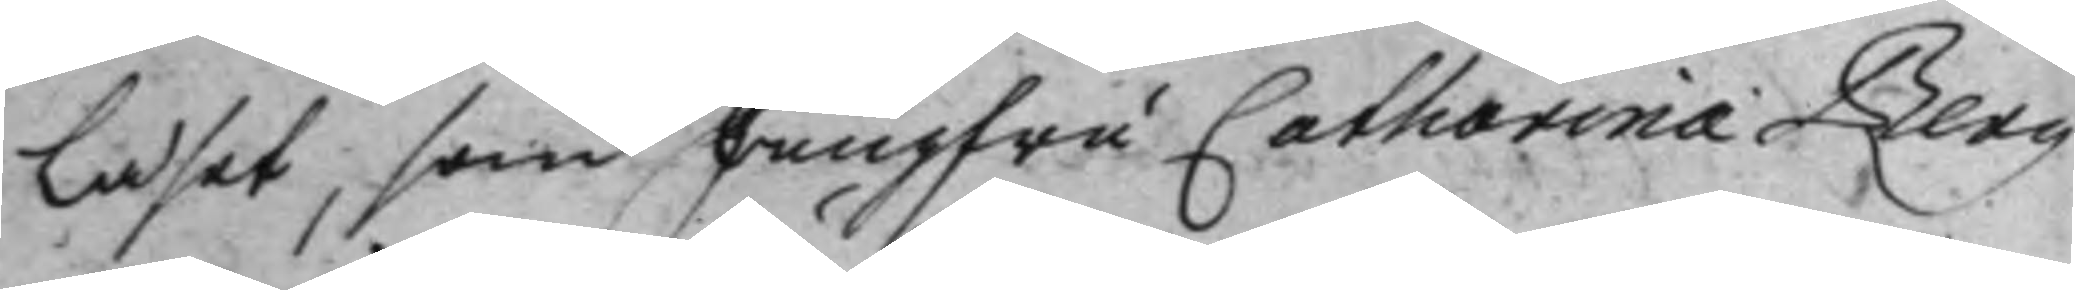läset, som Jungfru Catharina Berg
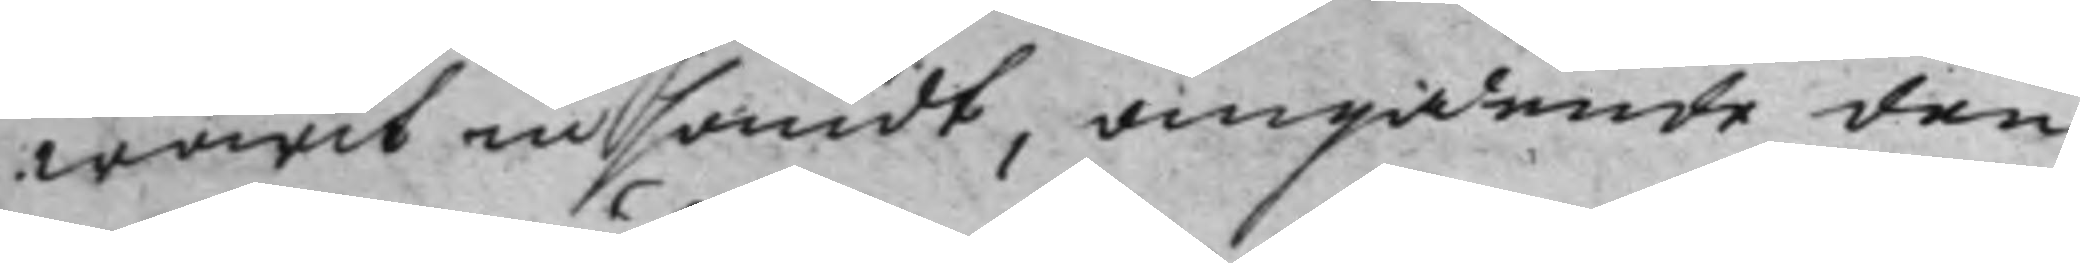warit intsändt, angående den
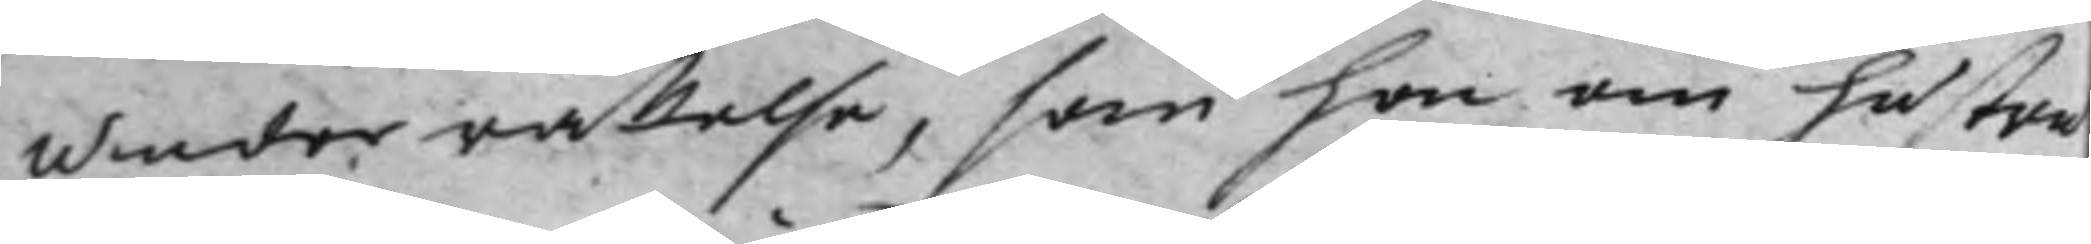underrättelse, som hon om hustru
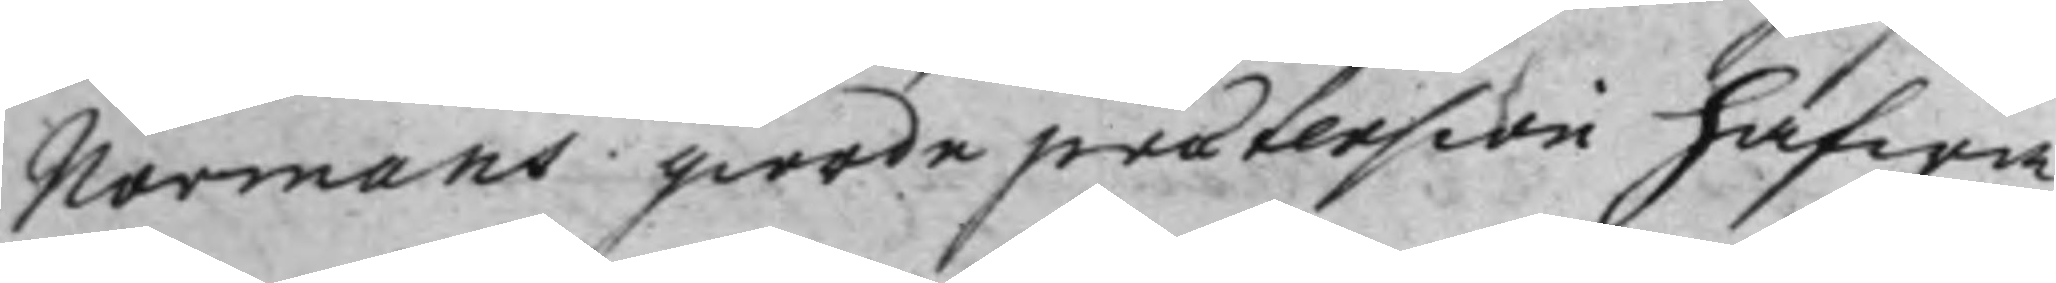Norrmans giorde prætension hafwa
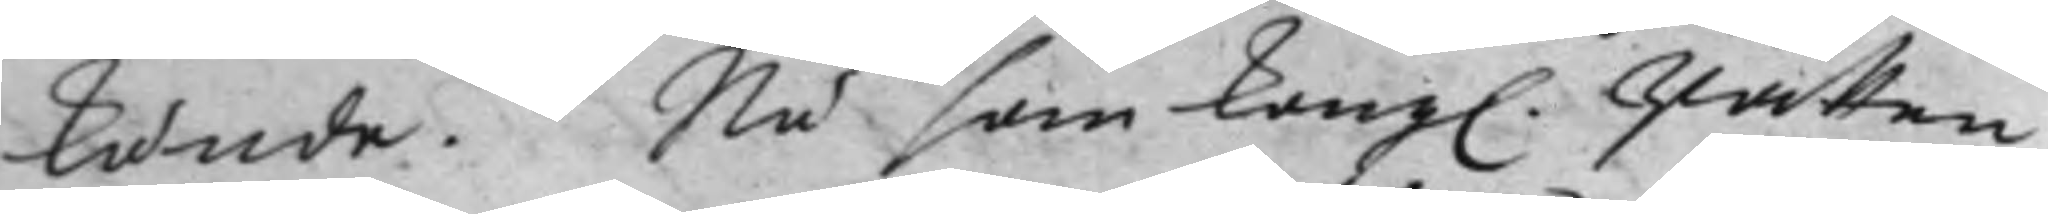kunde. Nu som Kongl. Rätten
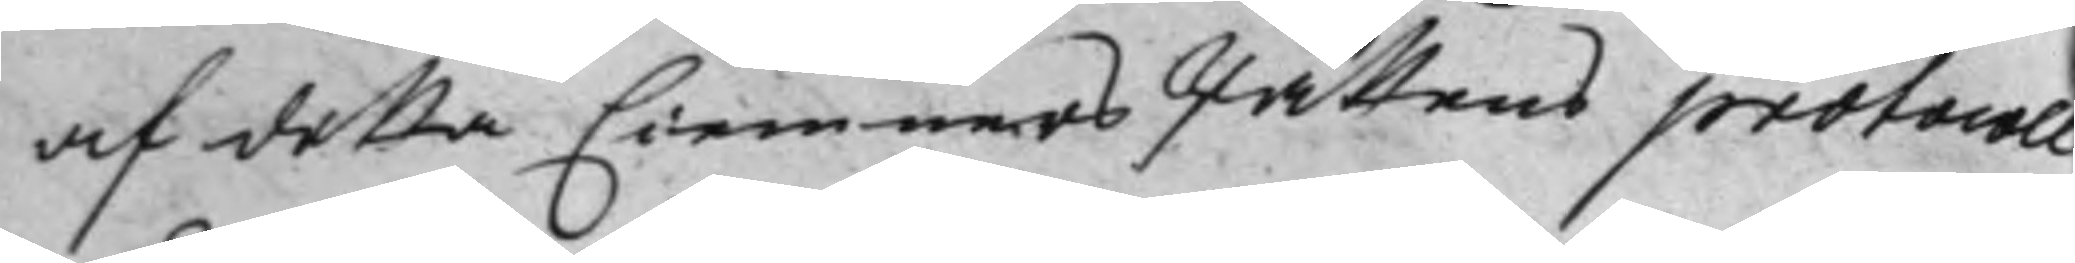af deßa Ciemners Rättens protocoll
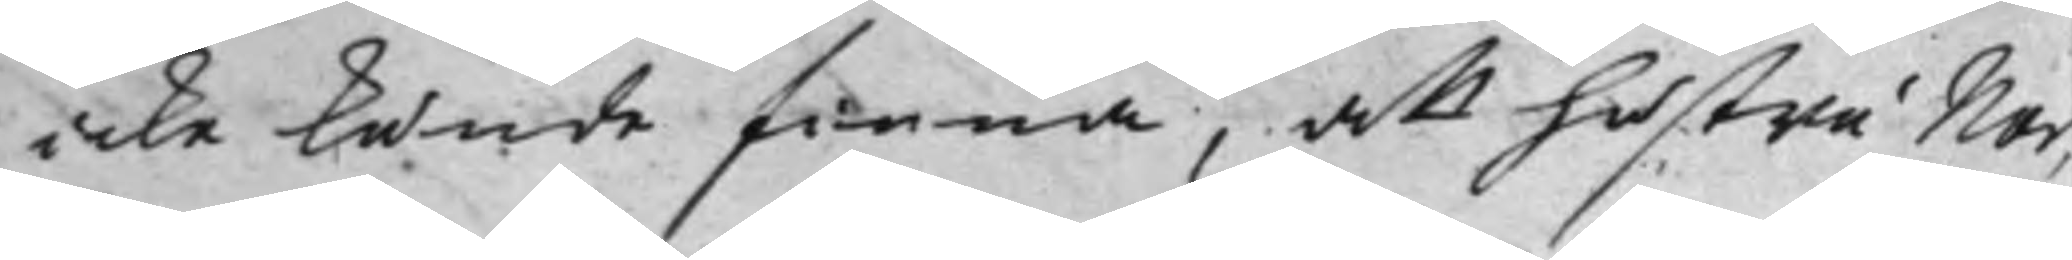icke kunde finna, att hustru Nor¬
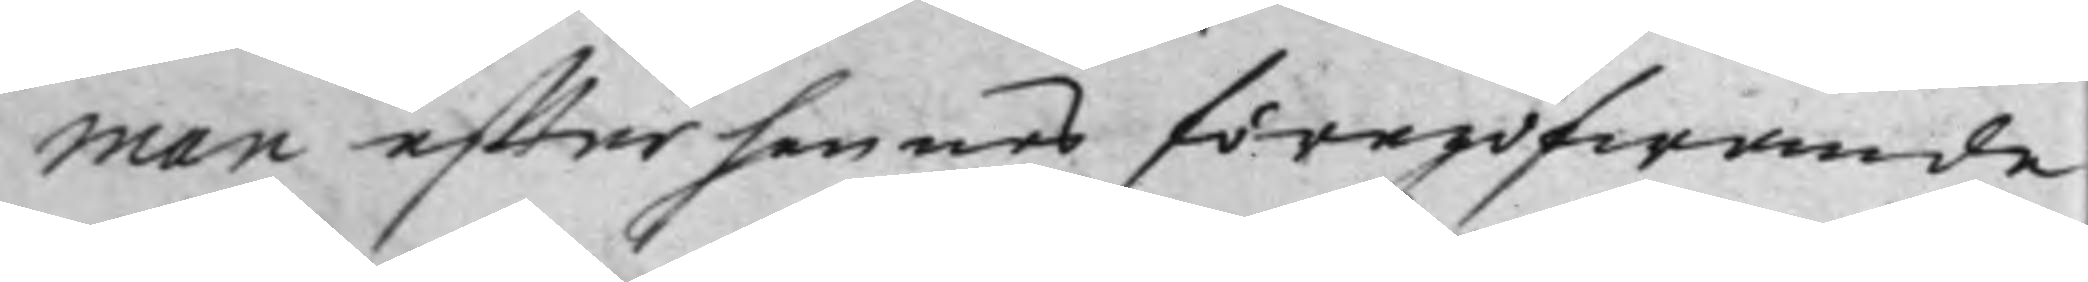man effter hennes föregifwande
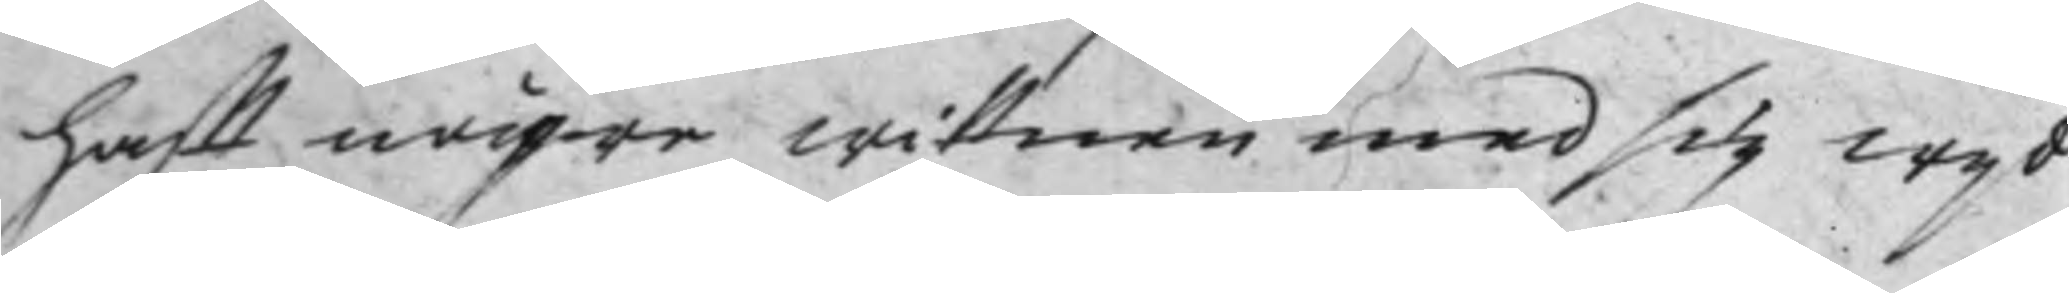hafft någre wittnen med sig wijd
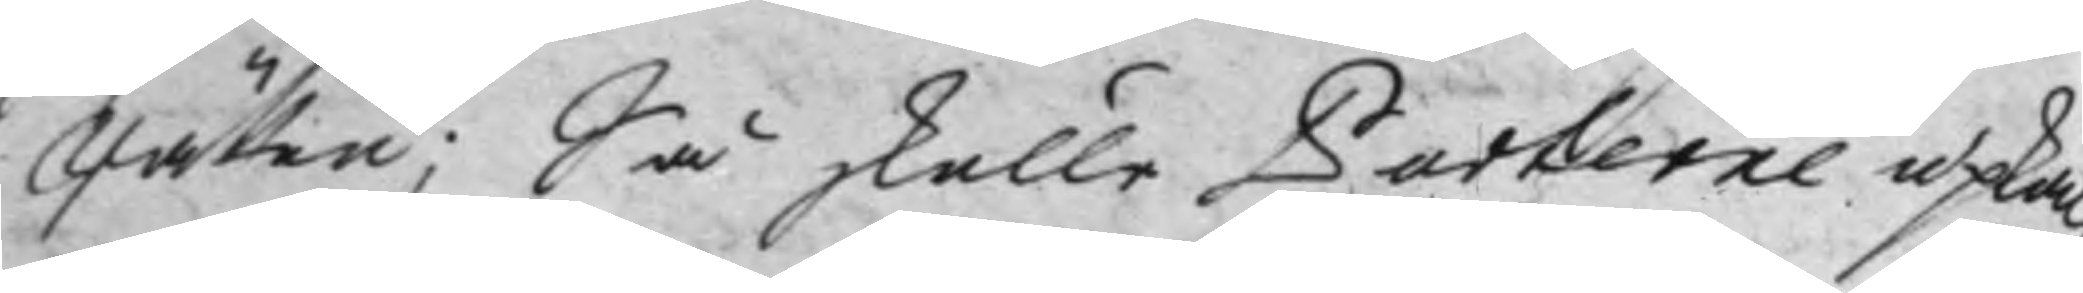Rätten; Så skulle Parterne upkal¬
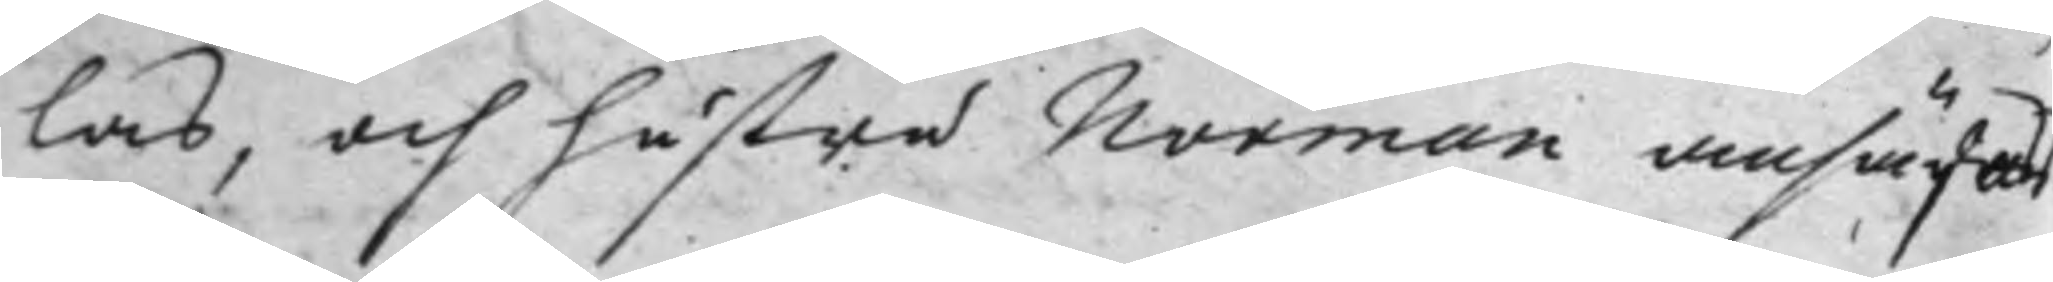las, och hustru Norman ansäges
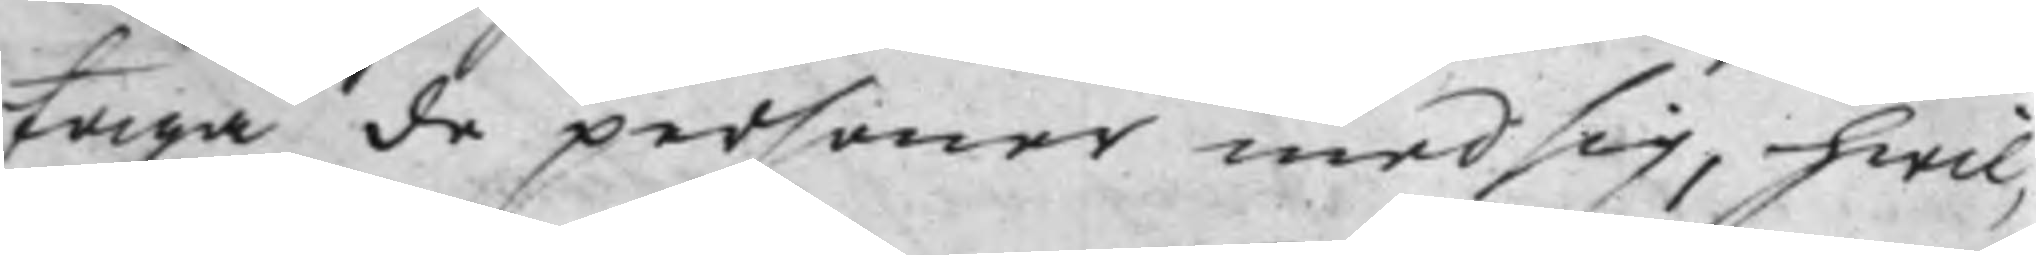taga de personer med sig, hwil¬
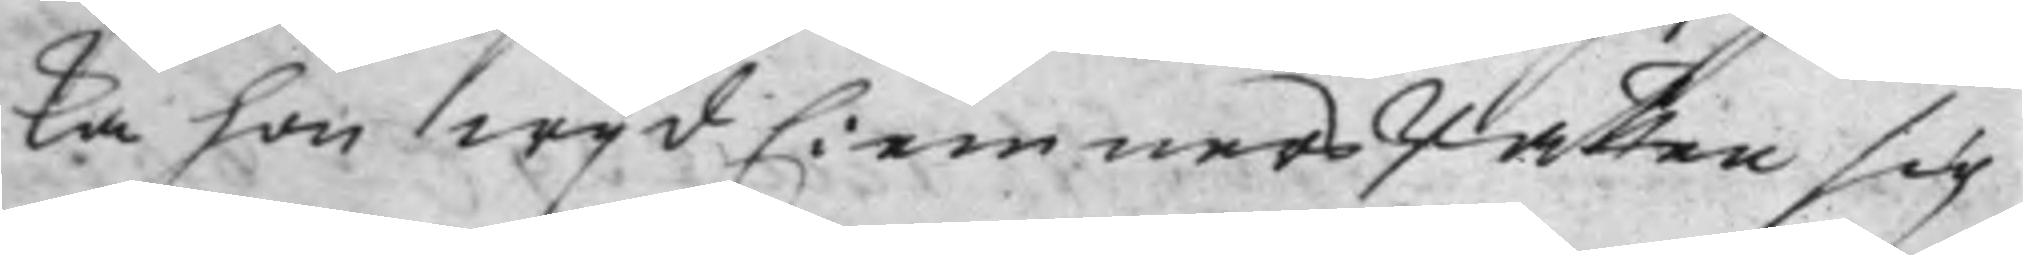ka hon wijd Ciemners Rätten sig
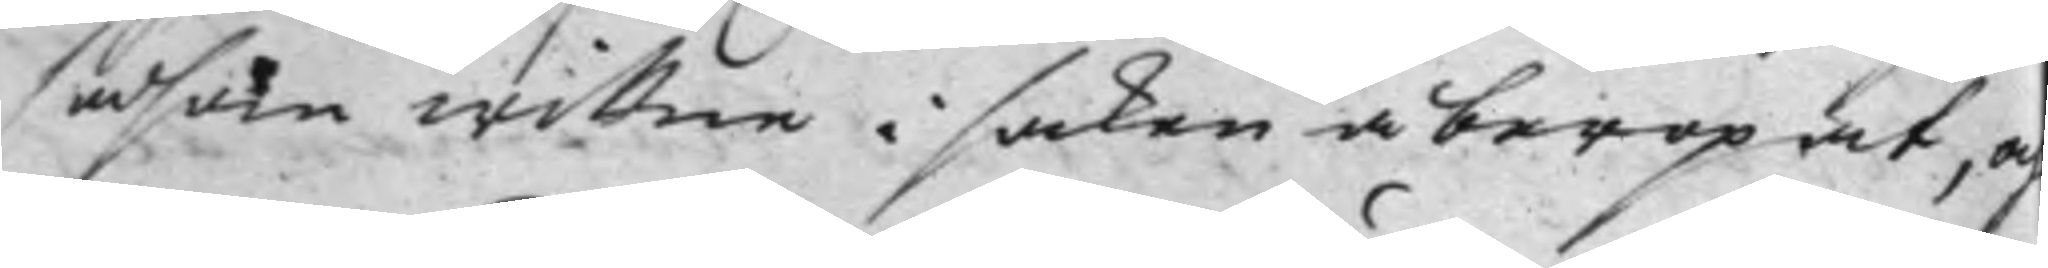såsom wittne i saken åberopat, och
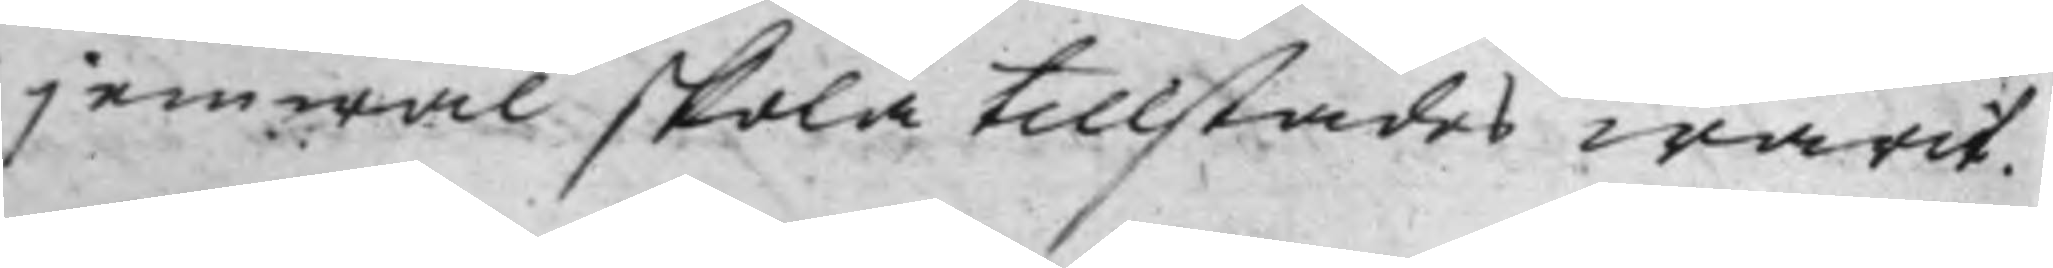jemwäl skola tillstädes warit.
